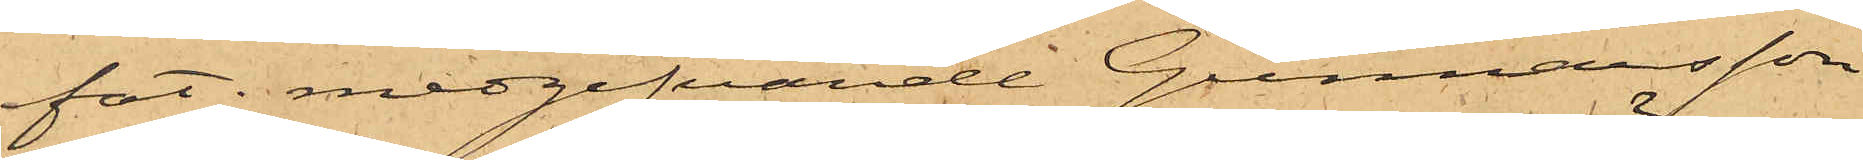fat; medgifvande Gunnarsson
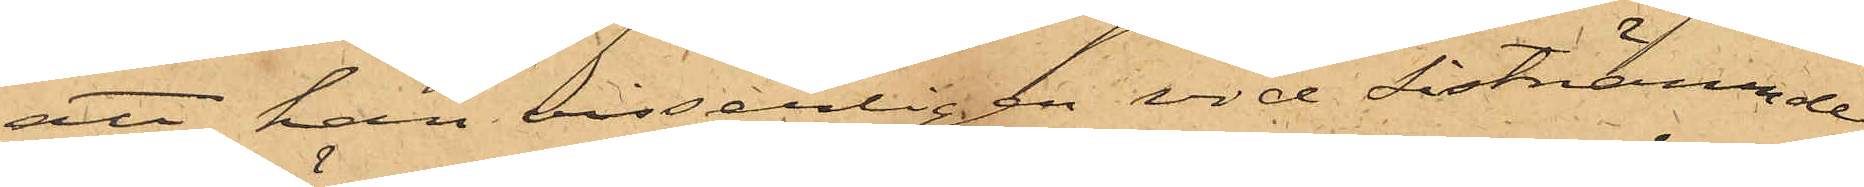att han visserligen vid sistnämnde
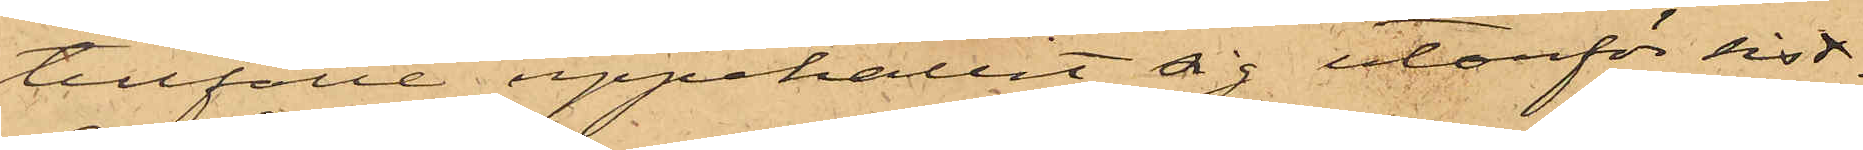tillfälle uppehållit sig utanför sist¬
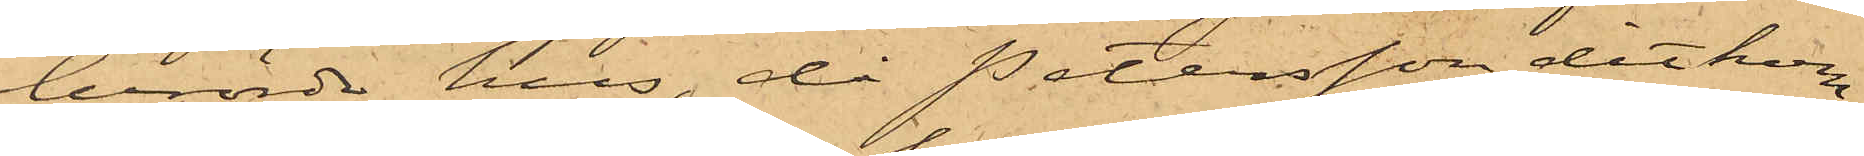berörde hus, då Petersson dit kom¬
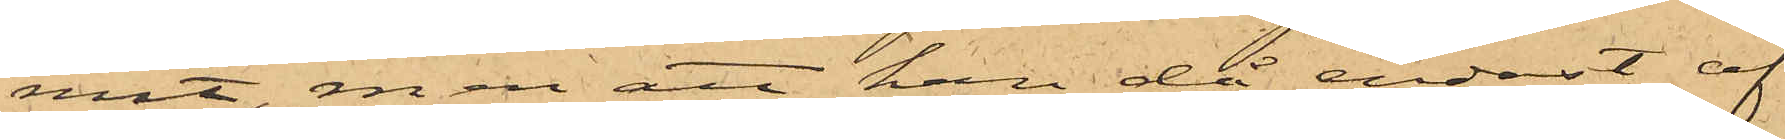mit, men att han då endast af
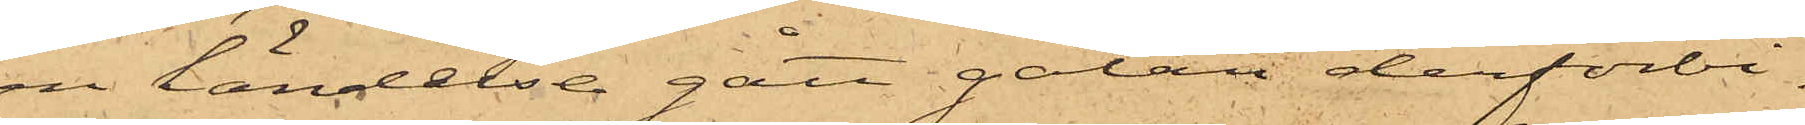en händelse gått gatan derförbi.
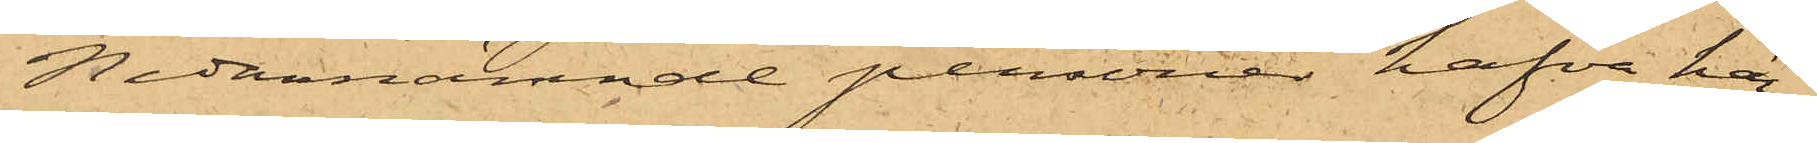Nedannämnde personer hafva här¬
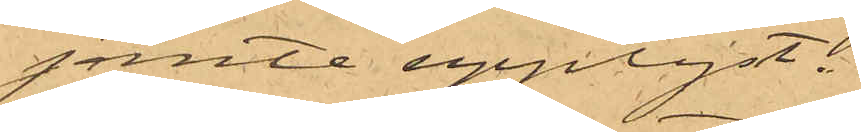jemte upplyst:
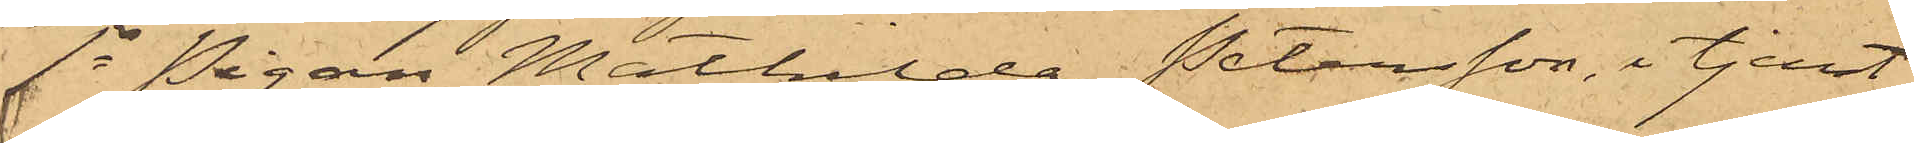1o Pigan Mathilda Petersson, i tjenst
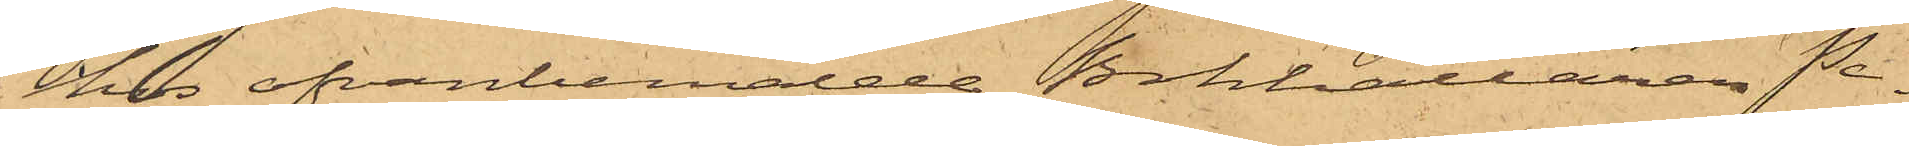hos ofvanbemälde Bokhållaren Pe¬
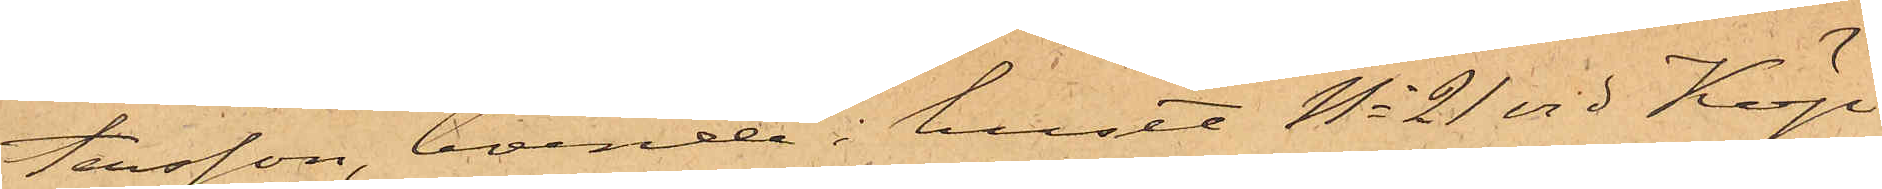tersson, boende i huset No 21 vid Köp¬
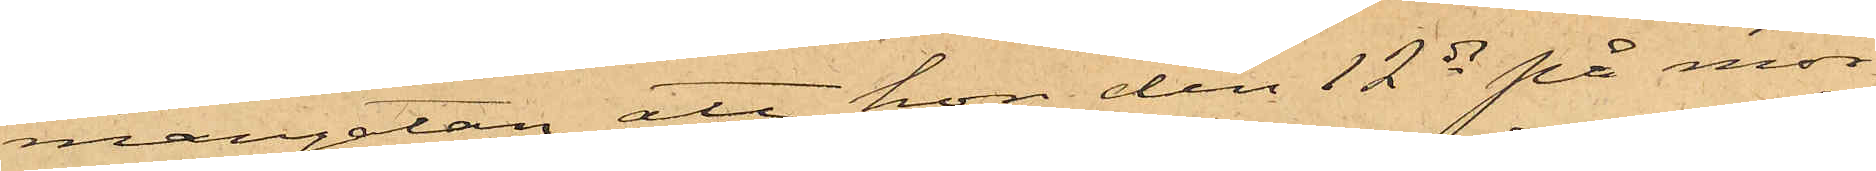mangatan, att hon den 12 ds på mor¬
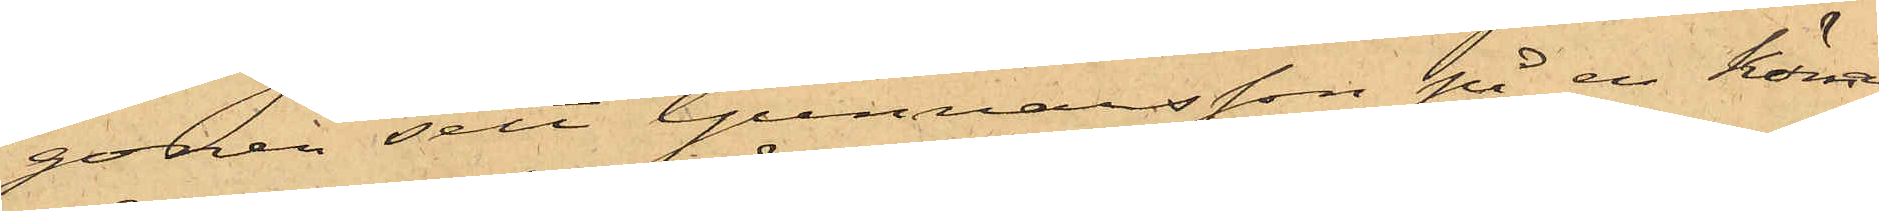gonen sett Gunnarsson på en kärra
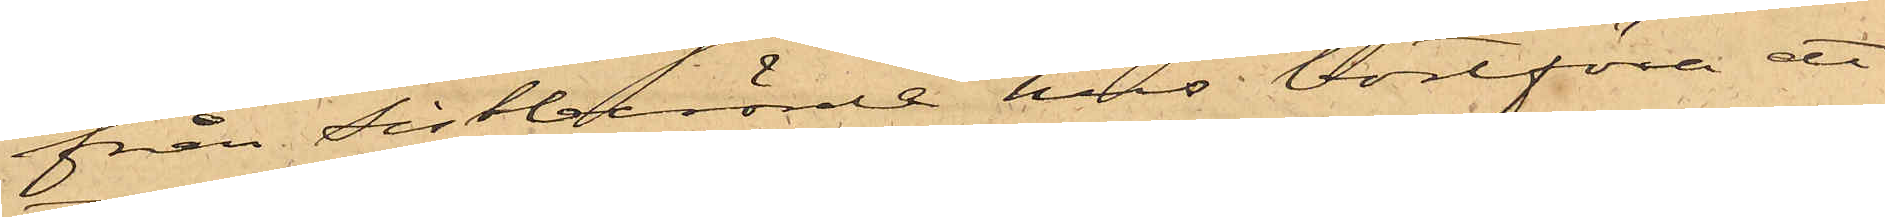från sistberörde hus bortföra ett
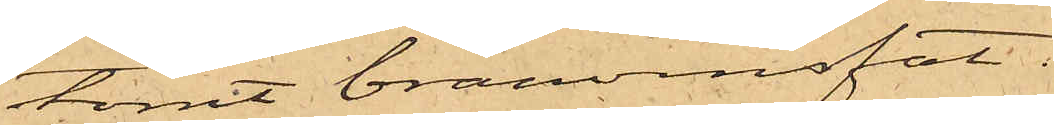tomt brännvinsfat.
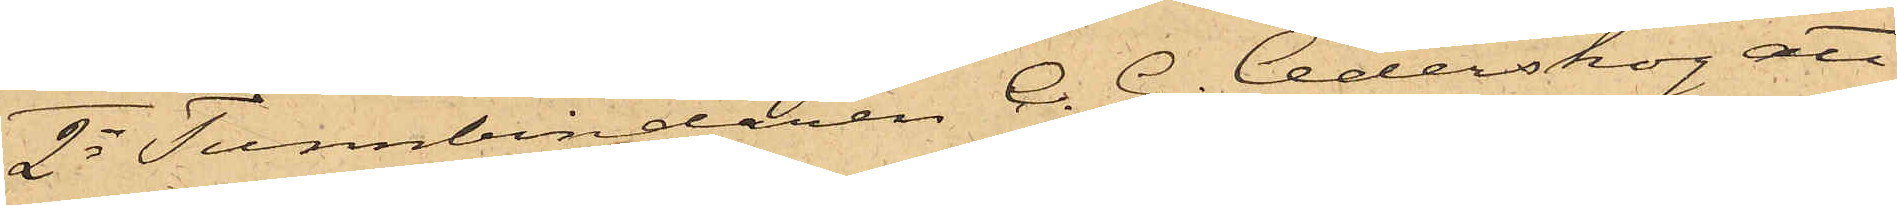2o Tunnbindaren C. G. Cederskog att
